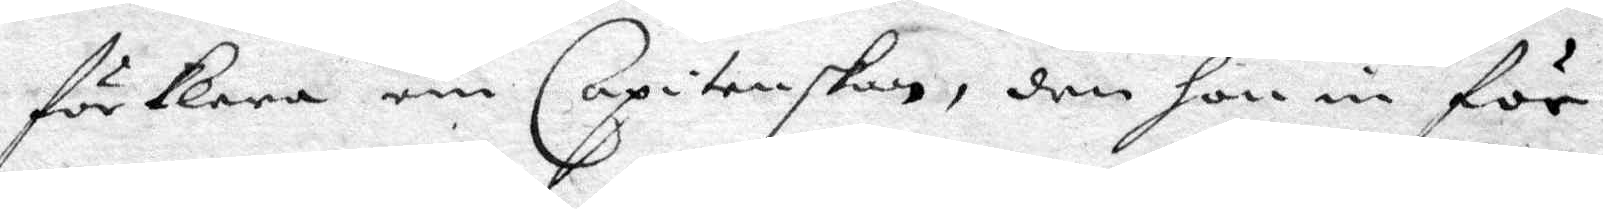förklara om Capitenskan, den hon in för
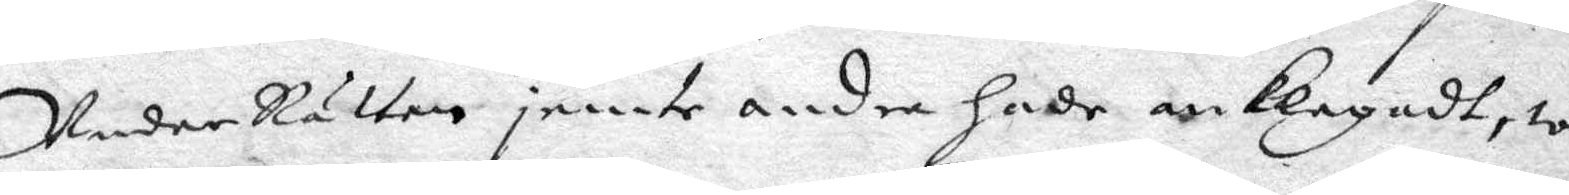UnderRätten jemte andra hade anklagadt, wo¬
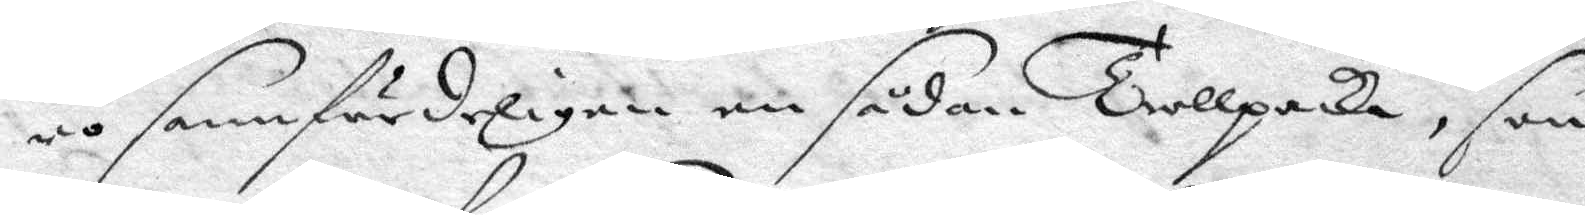ri sannfärdeligen en sådan Trollpacka, som
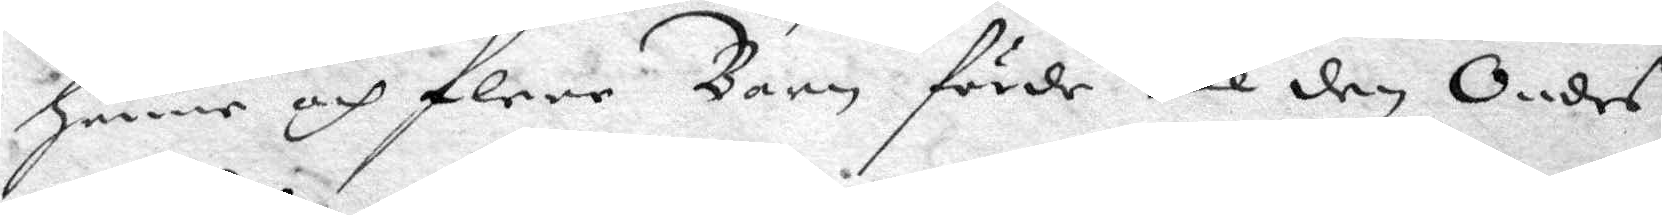henne och flere Barn förde till den Ondes
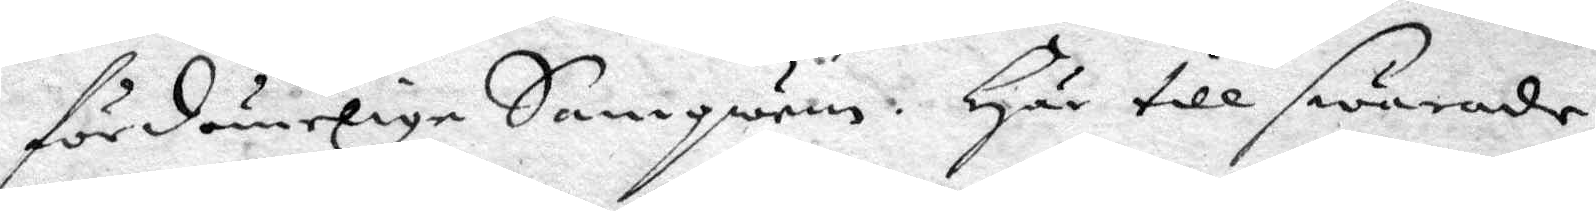fördömelige Samqwäm. Här till swarade
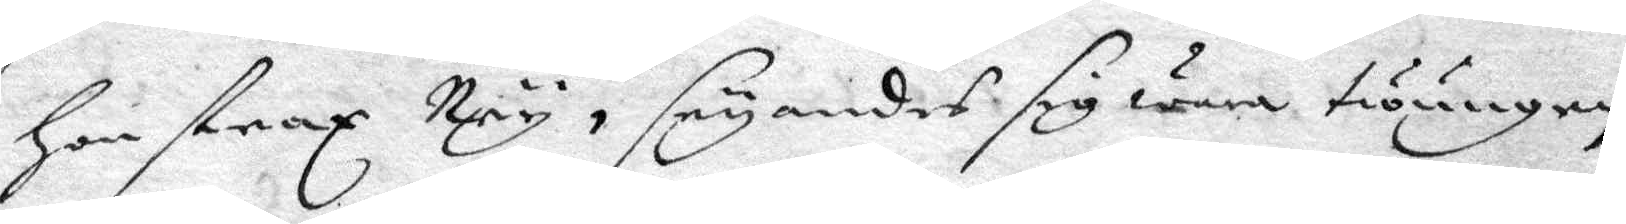hon strax Ney, seyandes sig wara twungen
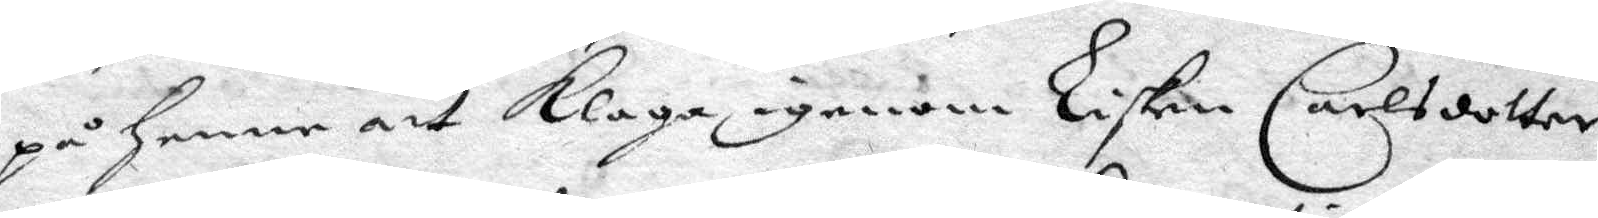på henne ayy klaga igenom Lisken Carlsdotter
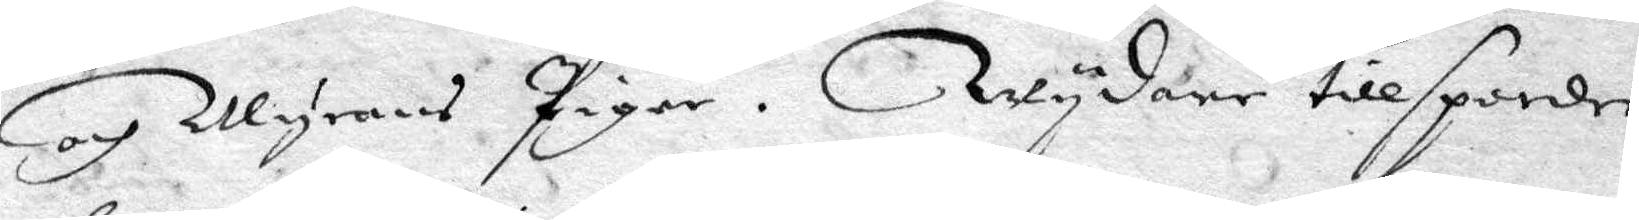och Myrans Pigor. Wydare tillspordes
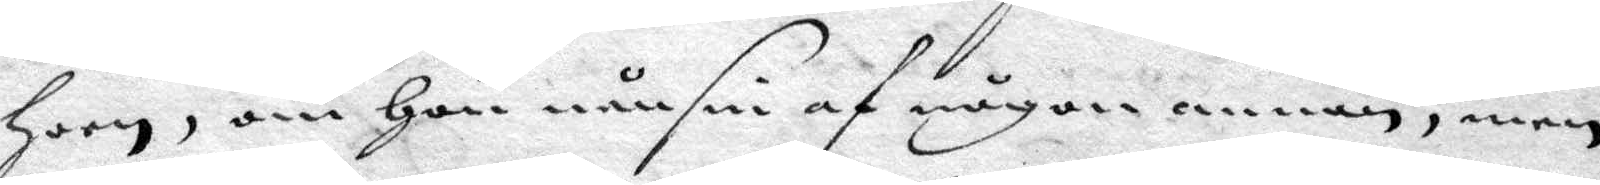hoon, om hon nånsin af någonannan, men
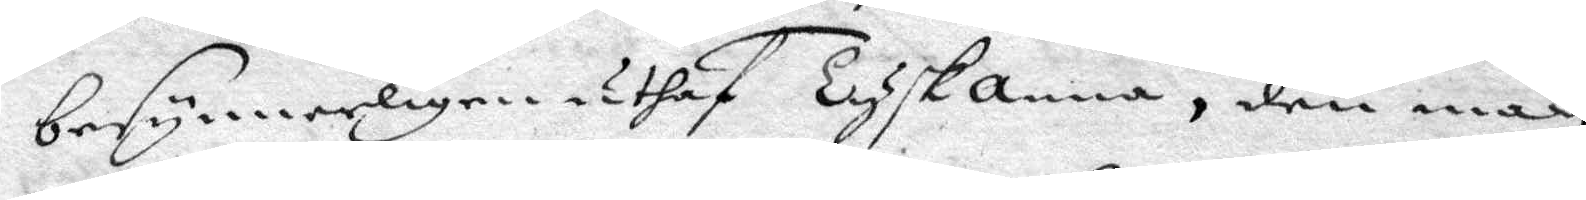besynnerligen uthaf Tyskanna, den man
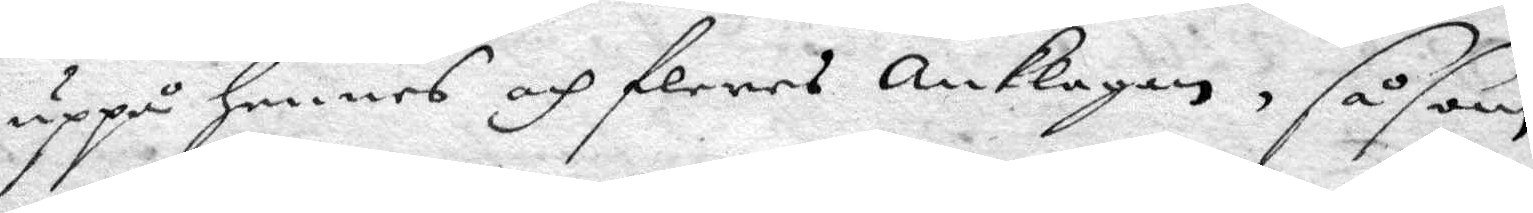uppå hennes och fleres anklagan, såsom
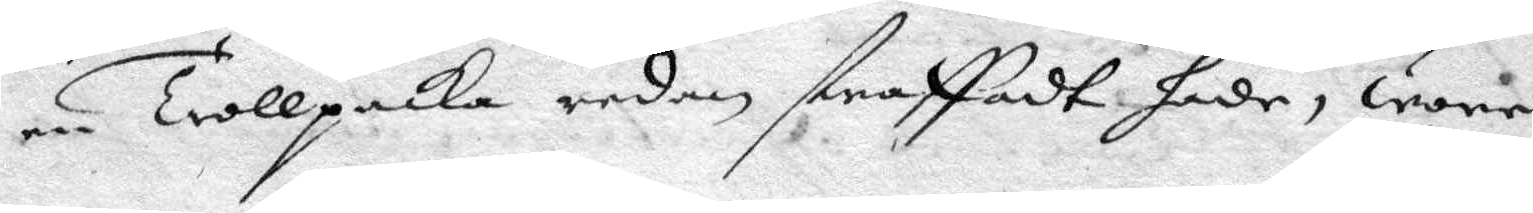Trollpacka redan straffadt hade, wore
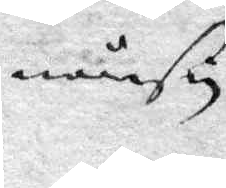nånsin
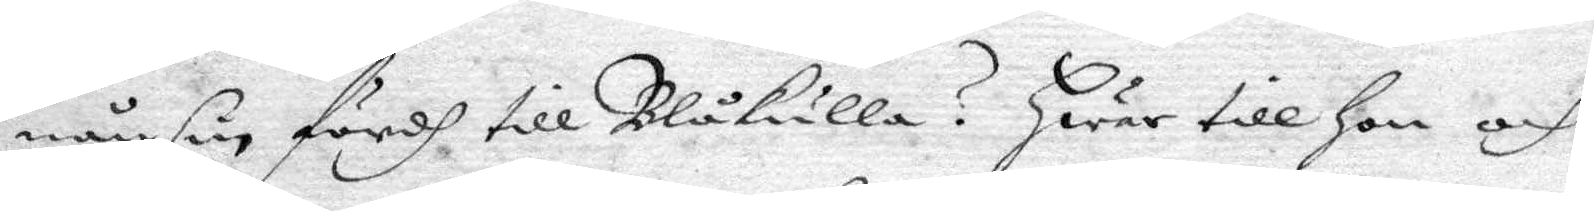nånsin fördh till Blåkulla? Hwar till hon och
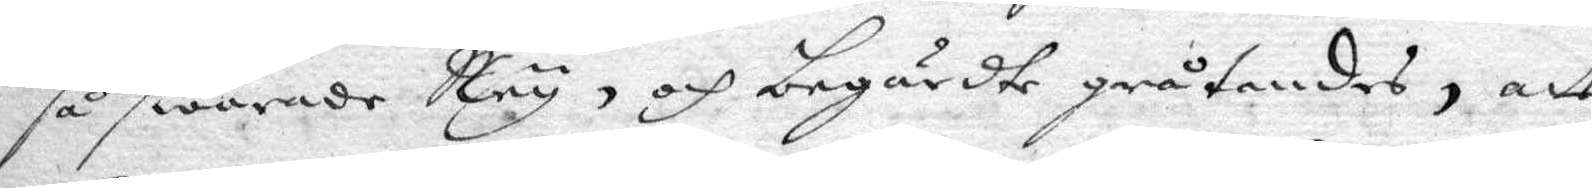så swarade Ney, och begärdte gråtandes, att
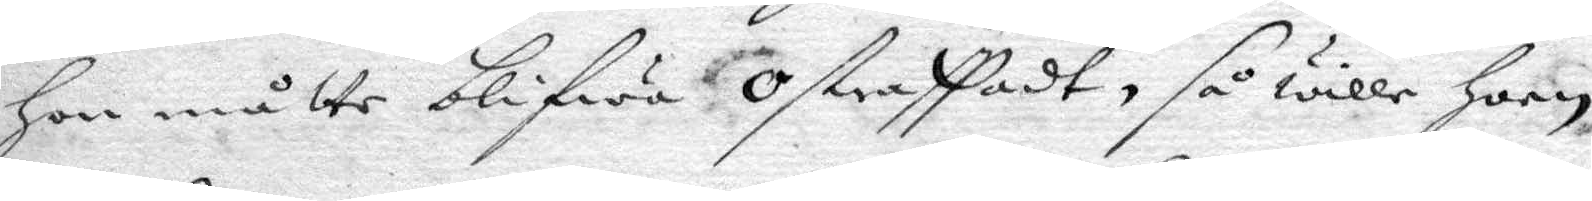hon måtte blifwa ostraffadt, så wille honn
